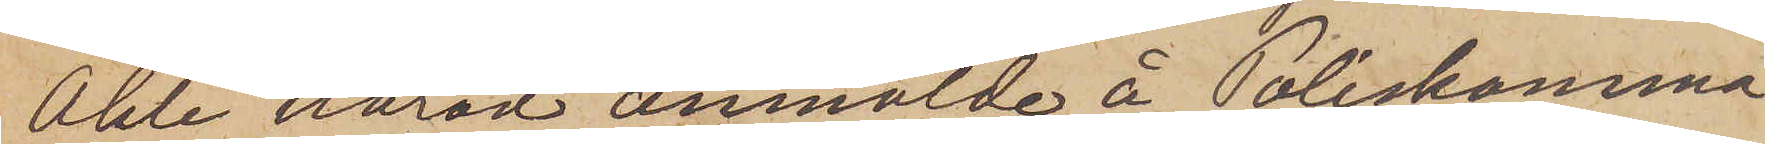Ahle härad anmälde å Poliskamma¬
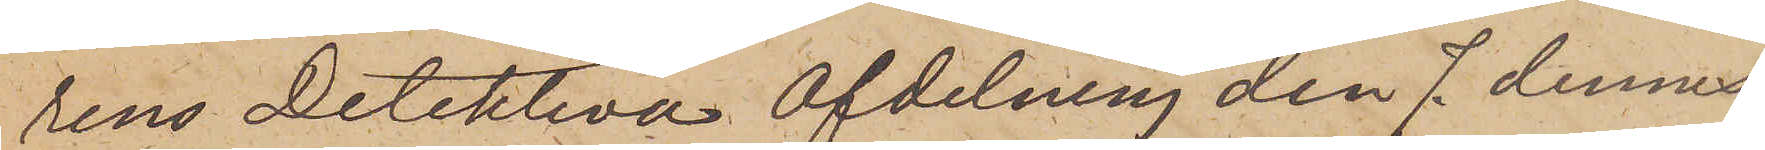rens Detektiva Afdelning den 7 dennes,
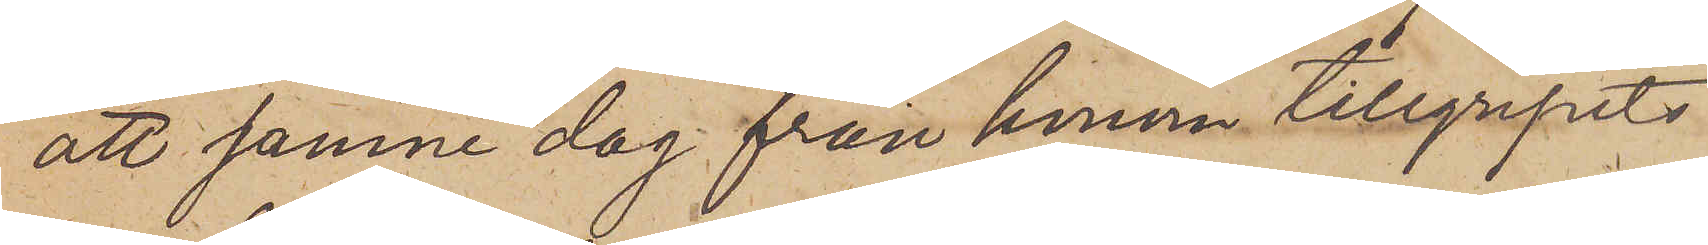att samne dag från honom tillgripits
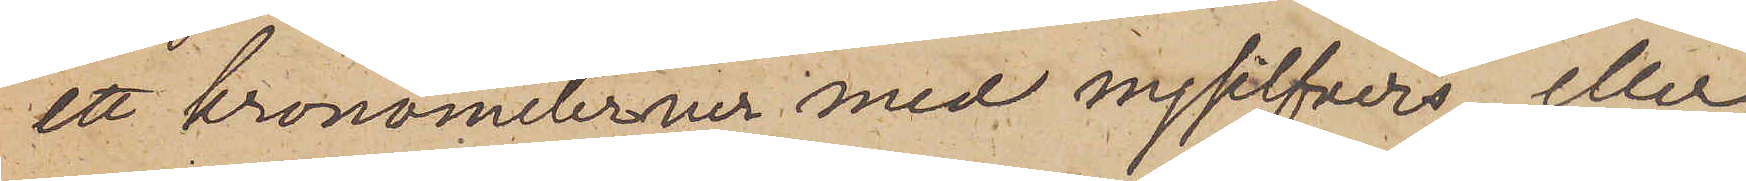ett kronometerur med nysilfvers eller
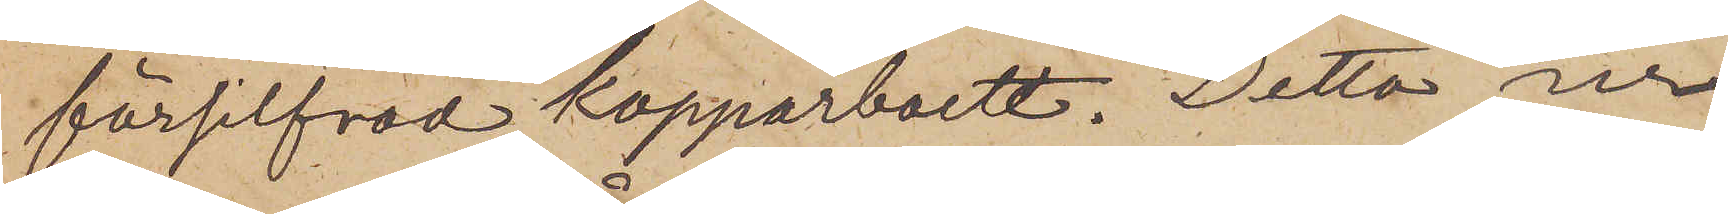försilfvad kopparboett. Detta ur
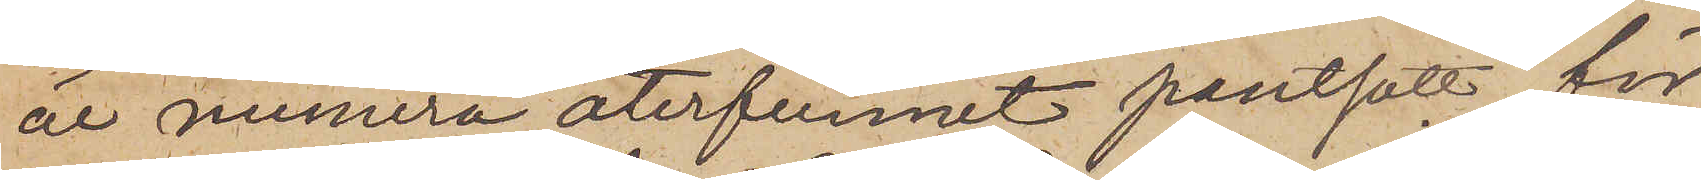är numera återfunnit pantsatt för
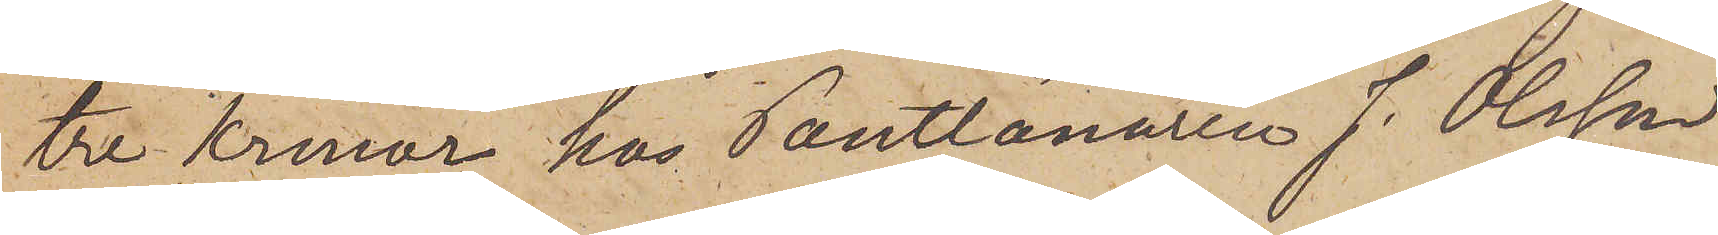tre Kronor hos Pantlånaren J. Olsson
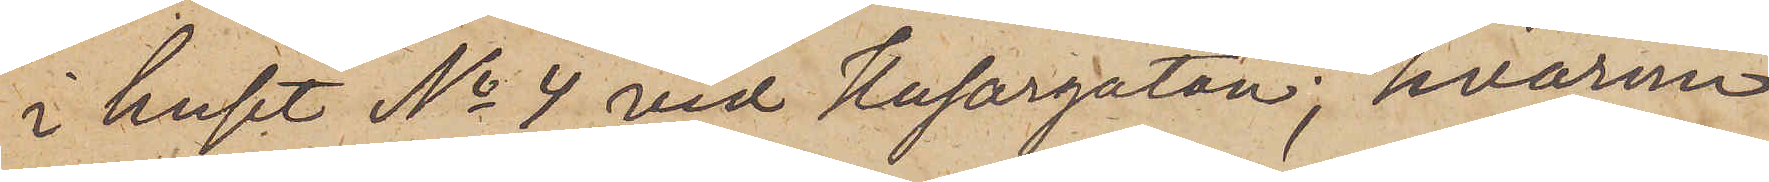i huset No 4 vid Husargatan; hvarom
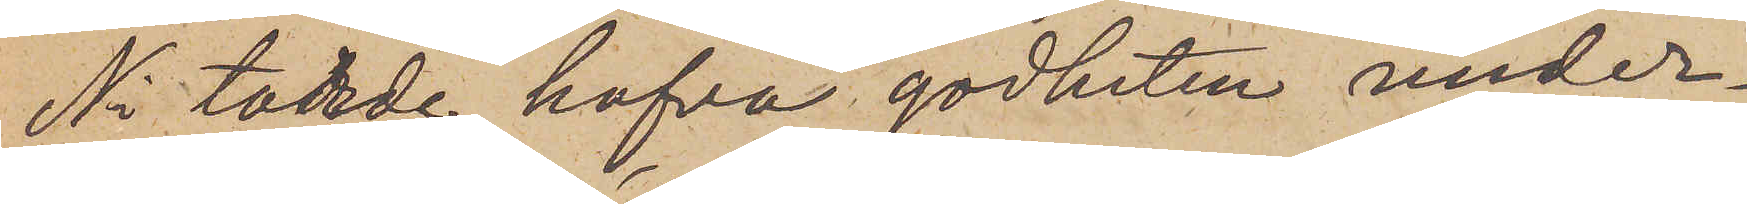Ni torde hafva godheten under¬
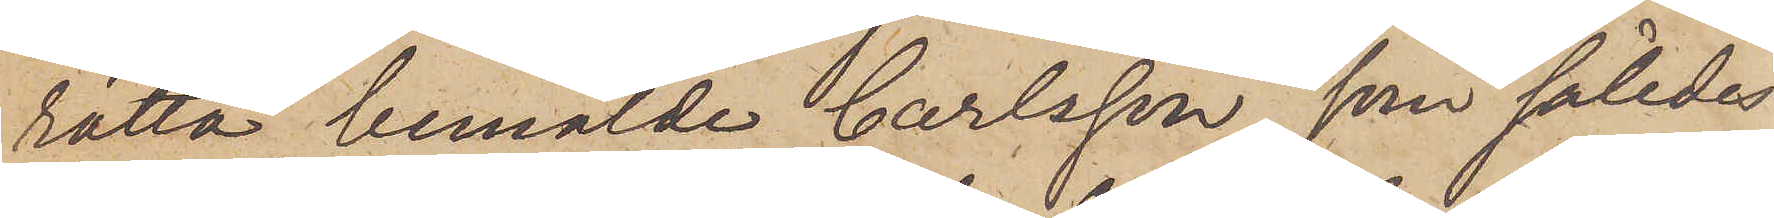rätta bemälde Carlsson, som således
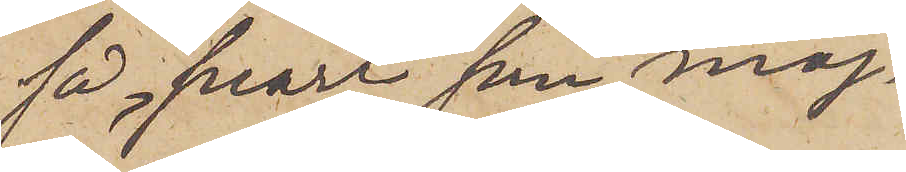så snart som möj¬
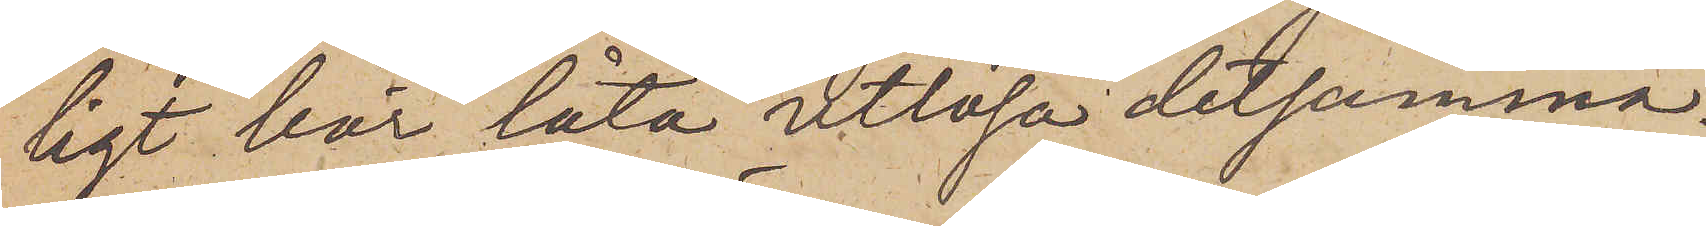ligt här låta utlösa detsamma.
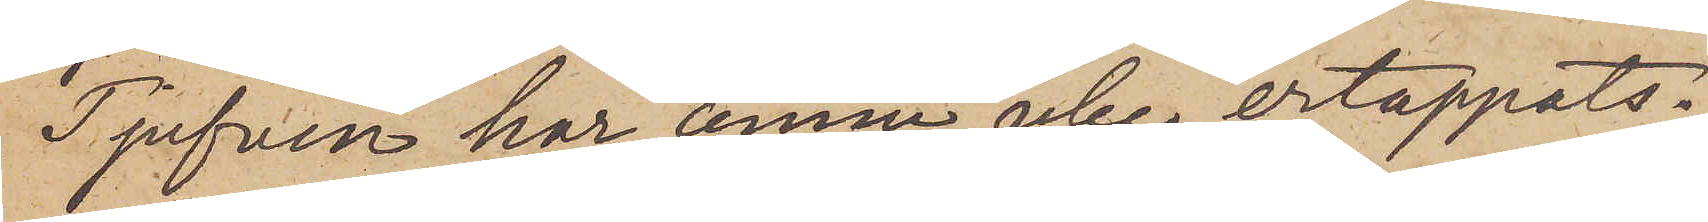Tjufven har ännu icke ertappats.
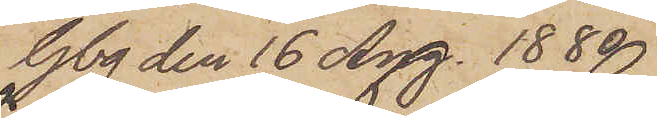Gbg den 16 Aug. 1880.
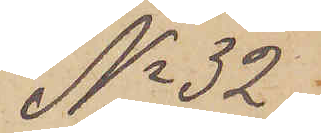No 32.
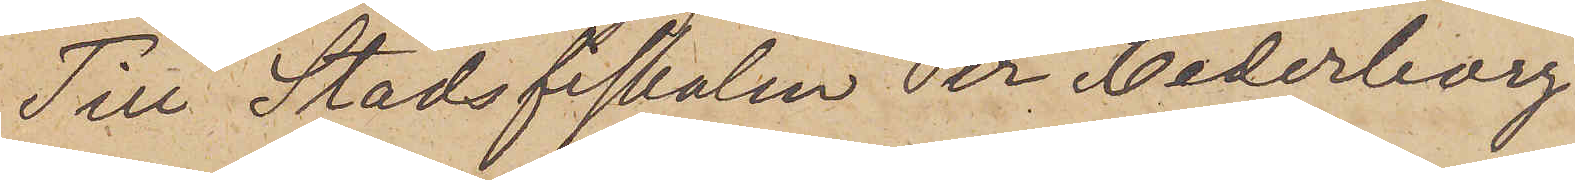Till Stadsfiskalen Per Cederborg
